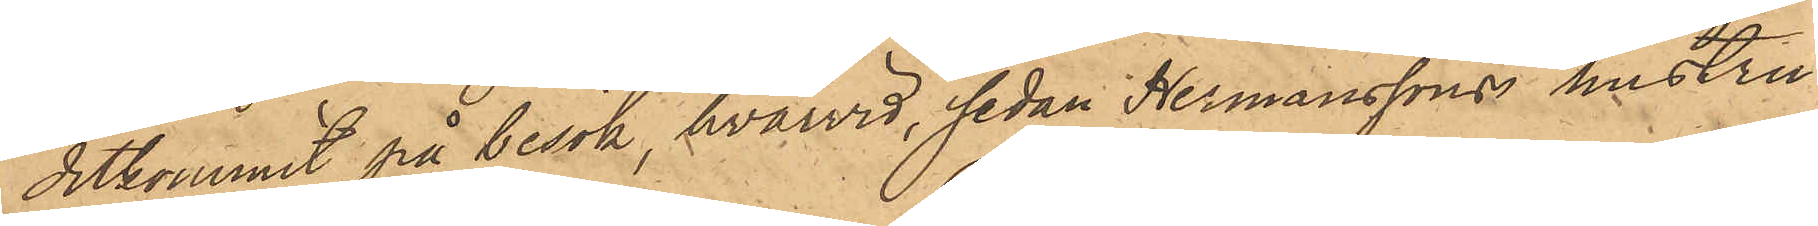ditkommit på besök, hvarvid, sedan Hermansson i hustru
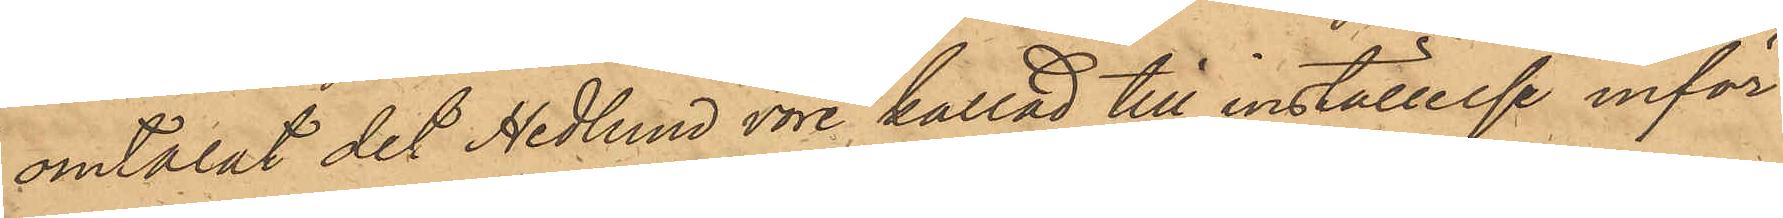omtalat det Hedlund vore kallad till inställelse inför
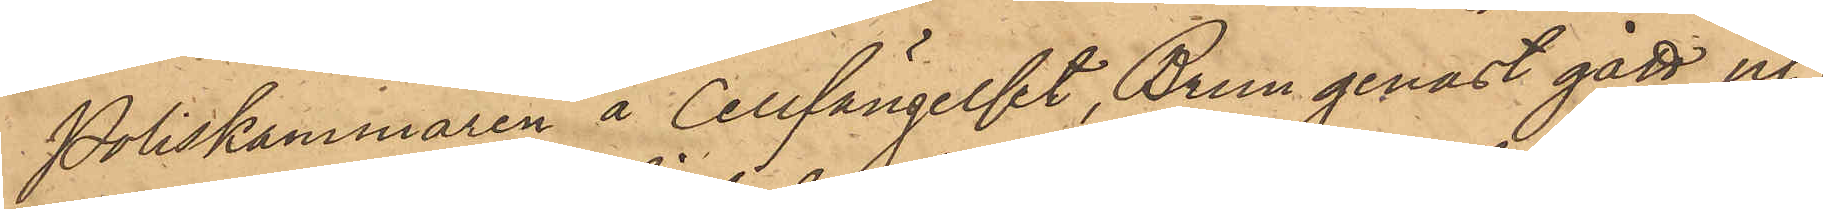Poliskammaren å Cellfängelset, Brun genast gått ut;
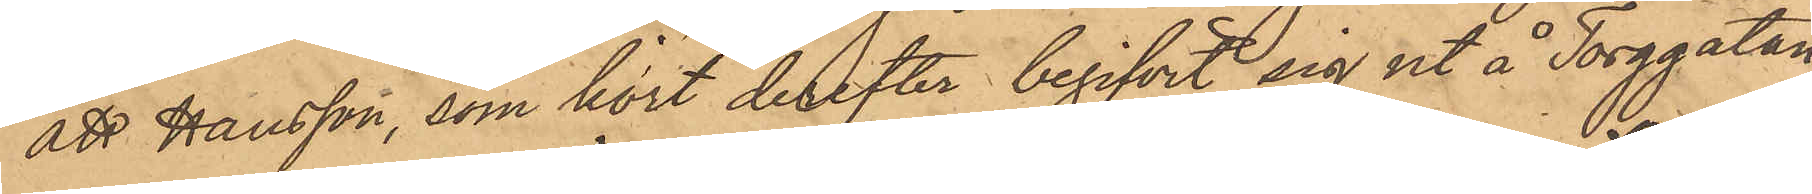att Hansson, som kort derefter begifvit sig ut å Torggatan,
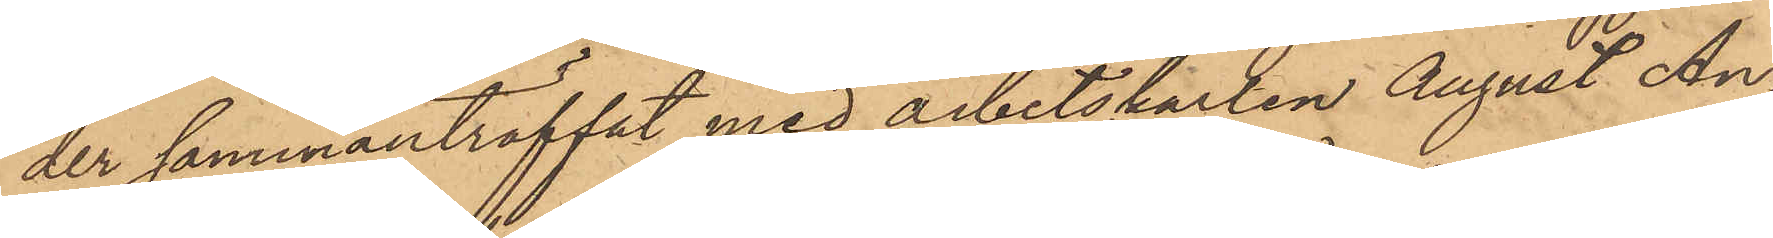der sammanträffat med arbetskarlen August An¬
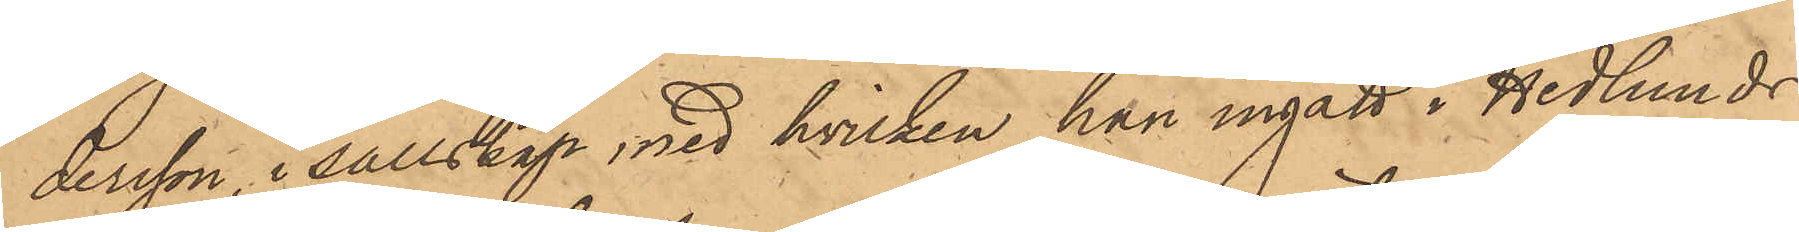dersson, i sällskap, med hvilken han ingått i Hedlunds
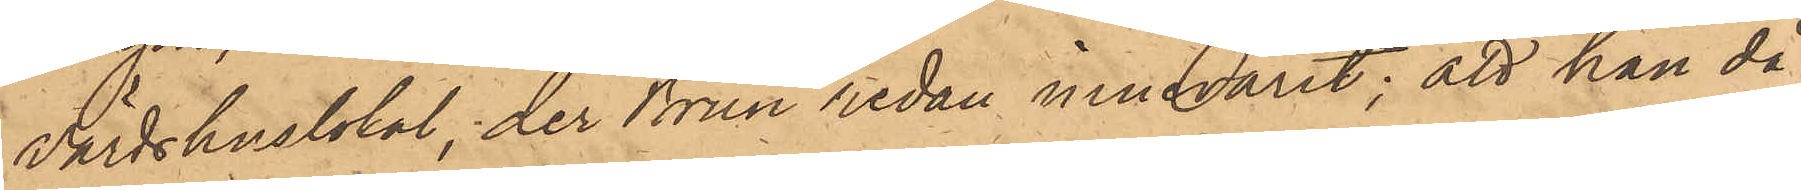värdshuslokal, der Brun redan innevarit; att han då
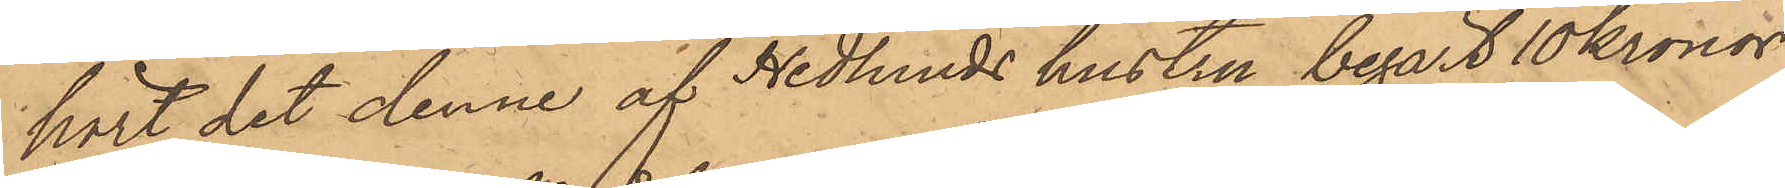hört det denne af Hedlunds hustru begärt 10 Kronor,
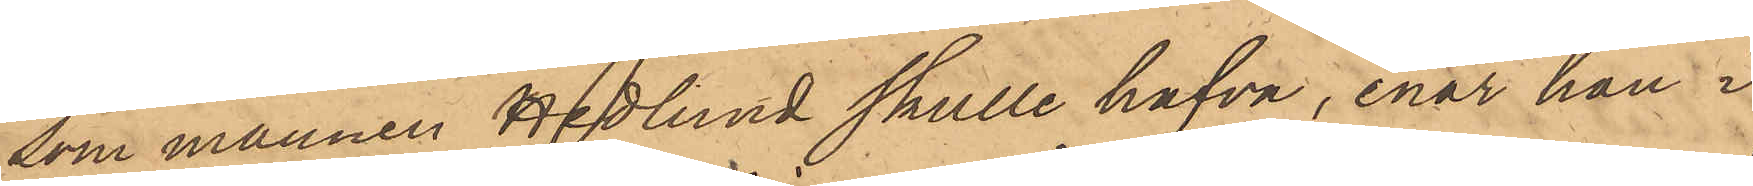som mannen Hedlund skulle hafva, enär han i
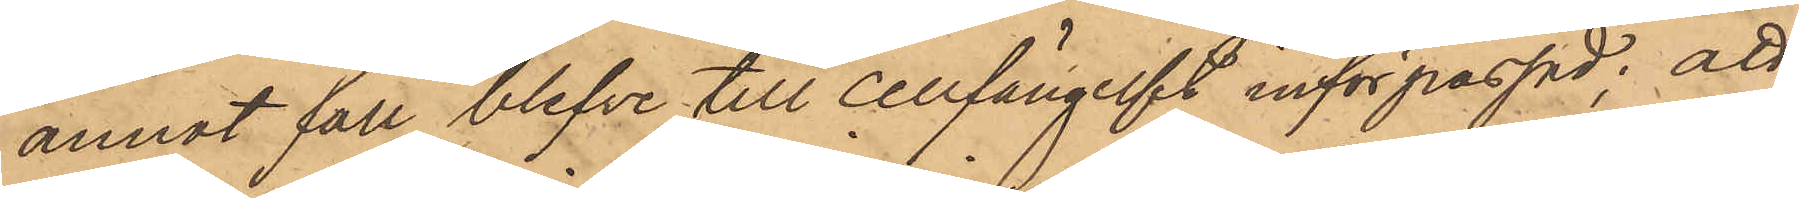annat fall blefve till cellfängelst införpassad; att
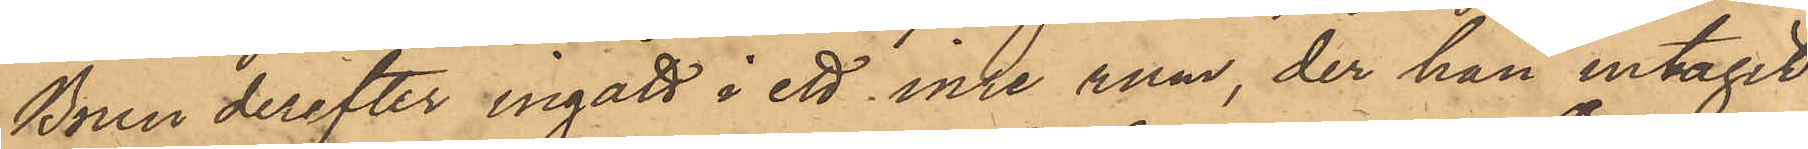Brun derefter ingått i ett inre rum, der han intagit
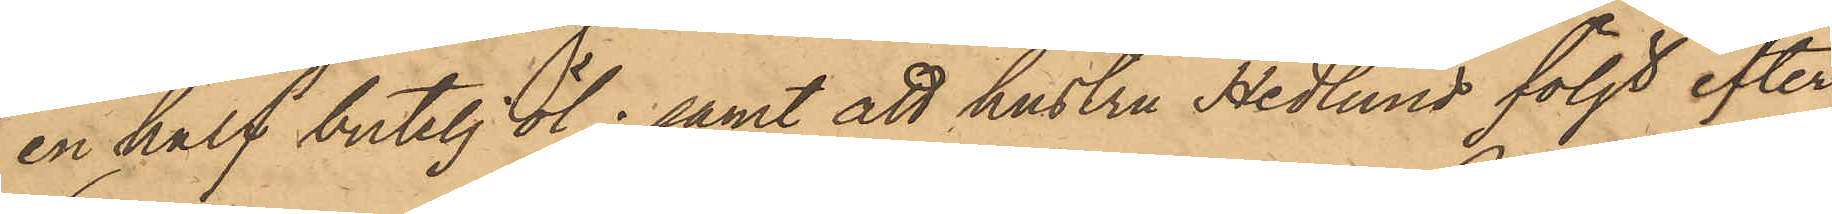en half butelj öl; samt att hustru Hedlund följt efter
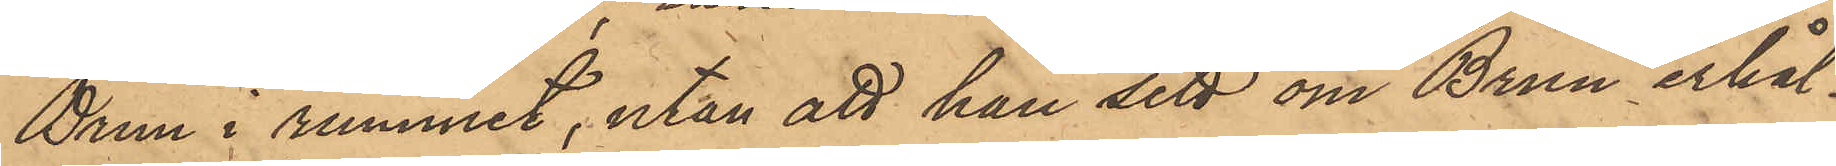Brun i rummet, utan att hon sett om Brun erhål¬
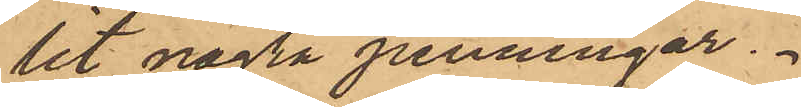lit några penningar.
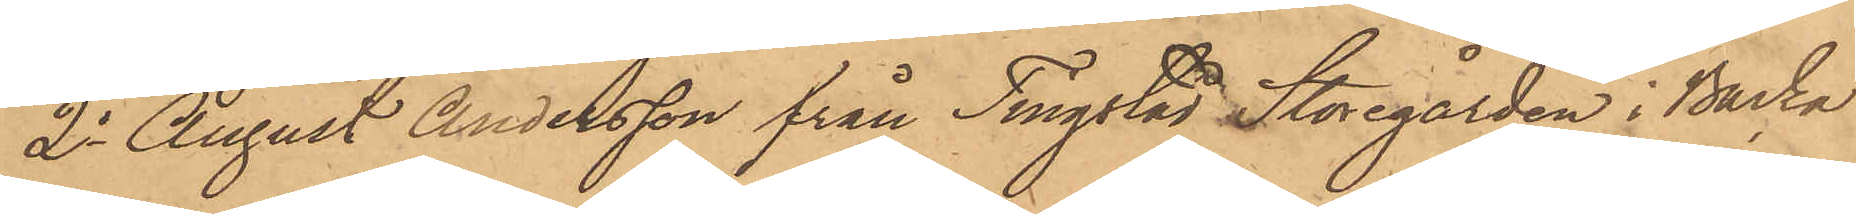2o August Andersson från Tingstad Storegården i Backa
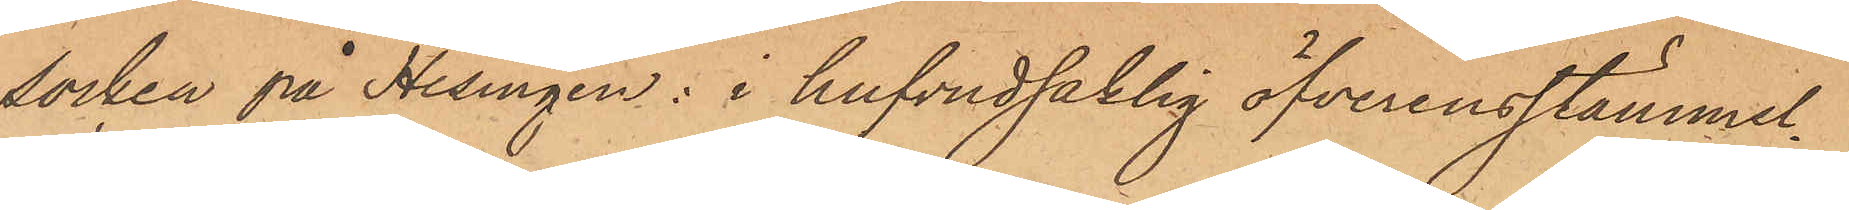socken på Hisingen: i hufvudsaklig öfverensstämmel¬
